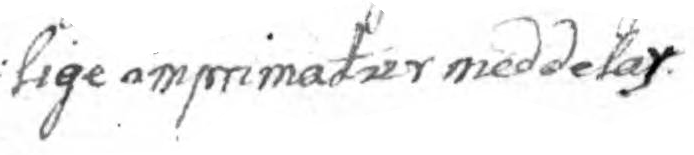lige imprimatur medddelas.
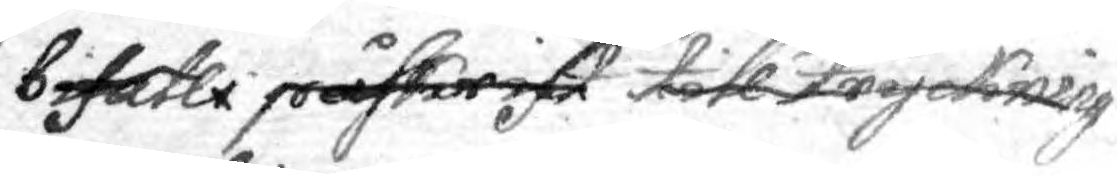bifalli påskrift till deras tryckning
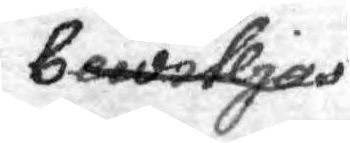bewiljas.
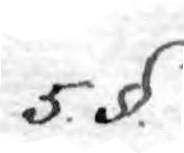5. §.
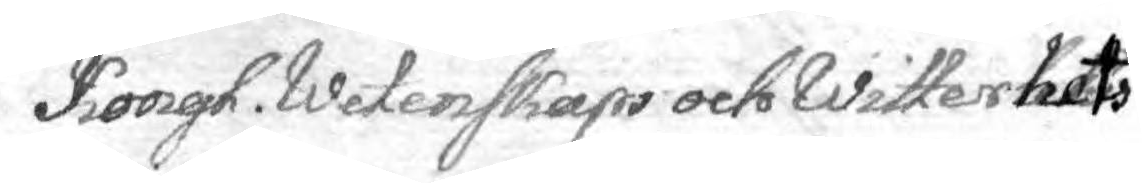Kongl. Wetenskaps och Witterhets
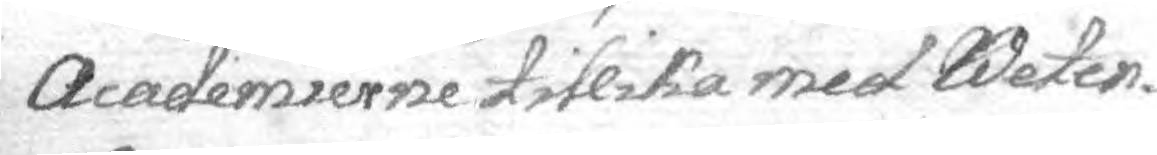Academierne tillika med Weten¬
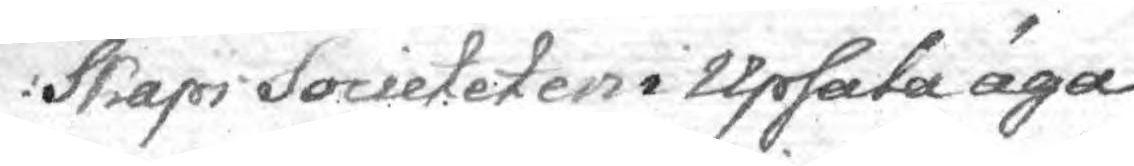skaps Societeten i Upsala äga
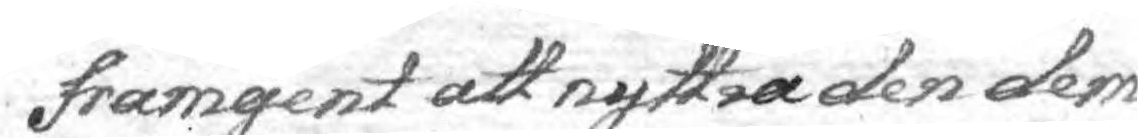framgent att nyttia den dem
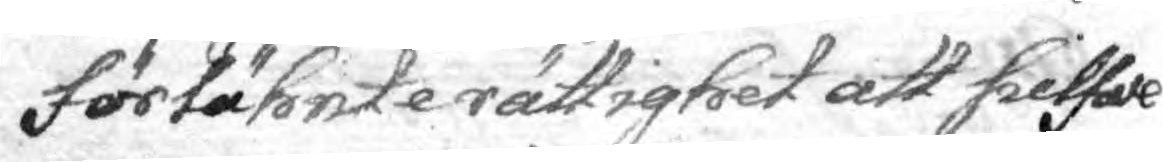försähnte rättighet att sielwe
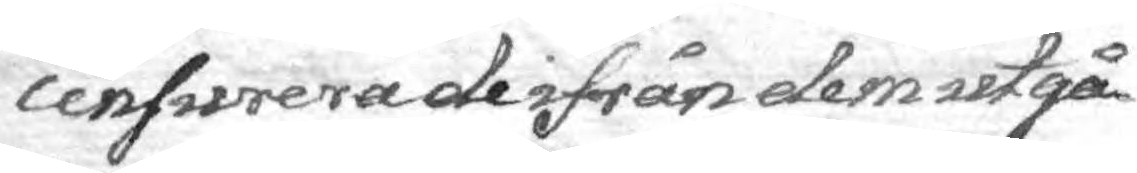censurera de ifrån dem utgå¬
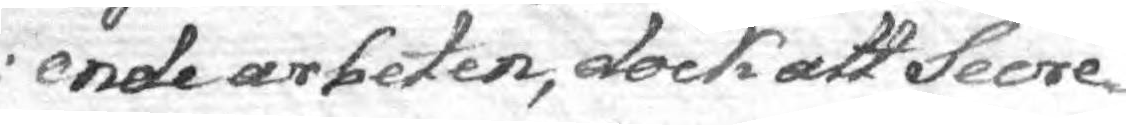ende arbeten, dock att Secre¬
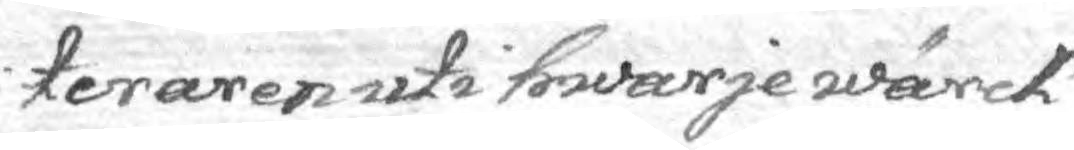teraren uti hwarje wärck
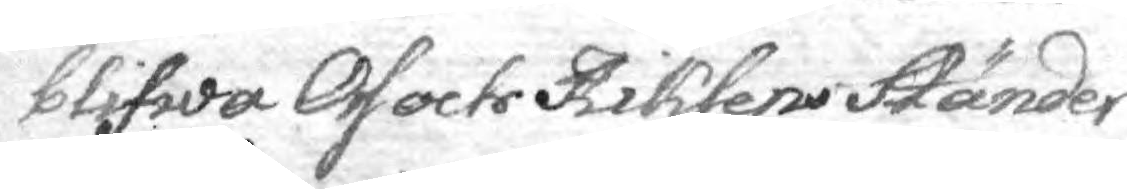blifwa Oss och Riksens Ständer
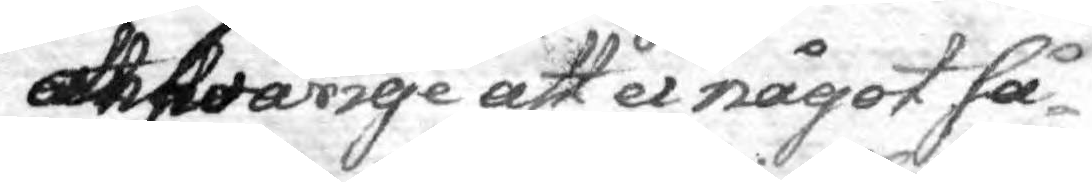answarige att ei något så¬
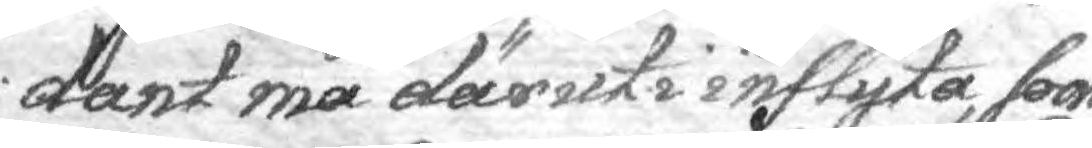dant må däruti inflyta, som
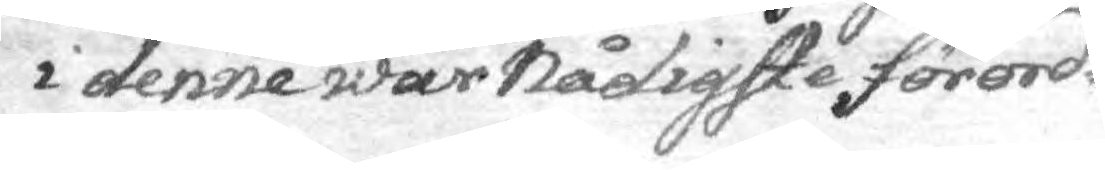i denne wår Nådigste förord¬
